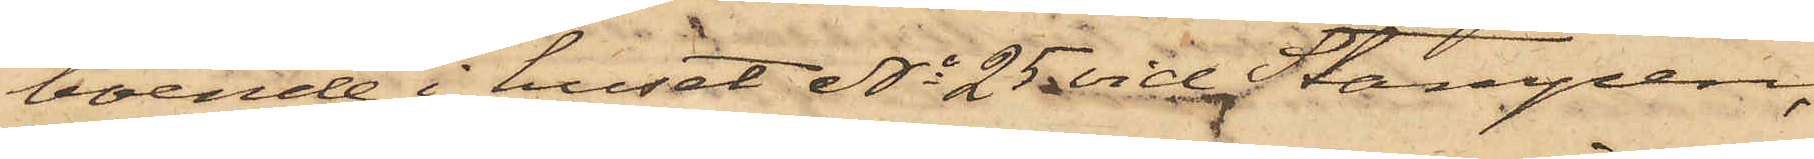boende i huset No 25 vid Stampen,
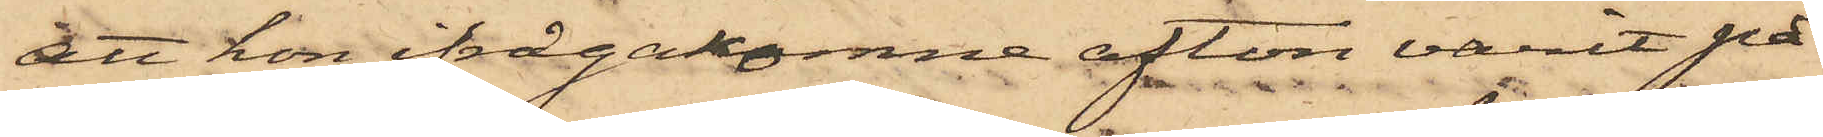att hon ifrågakomne afton varit på
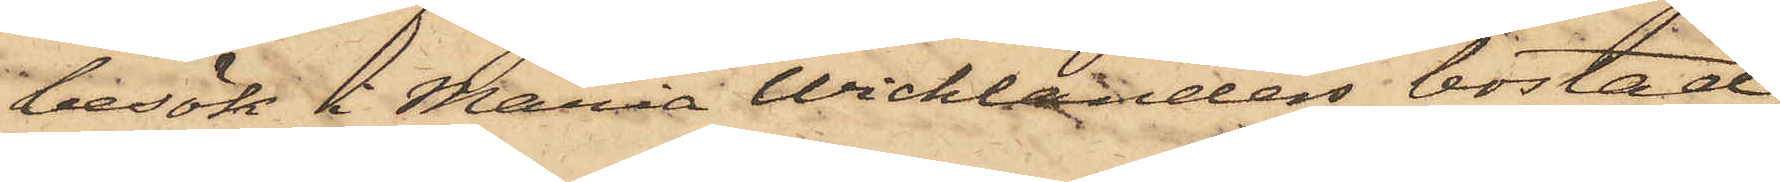besök i Maria Wicklanders bostad
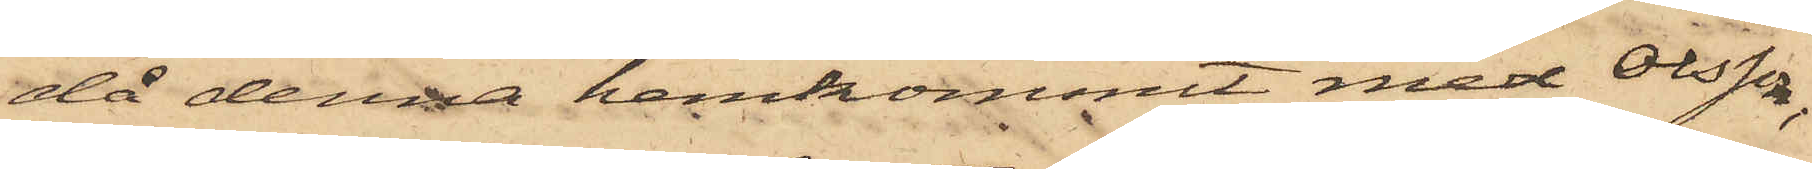då denna hemkommit med Olsson,
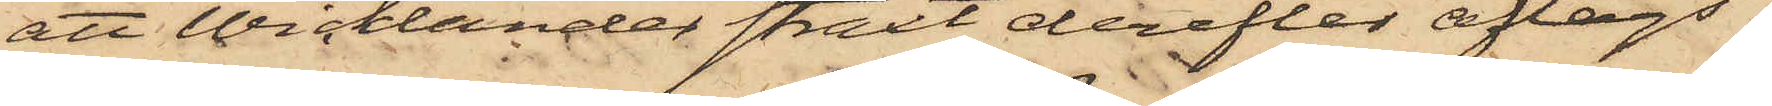att Wicklander straxt derefter aflägs¬
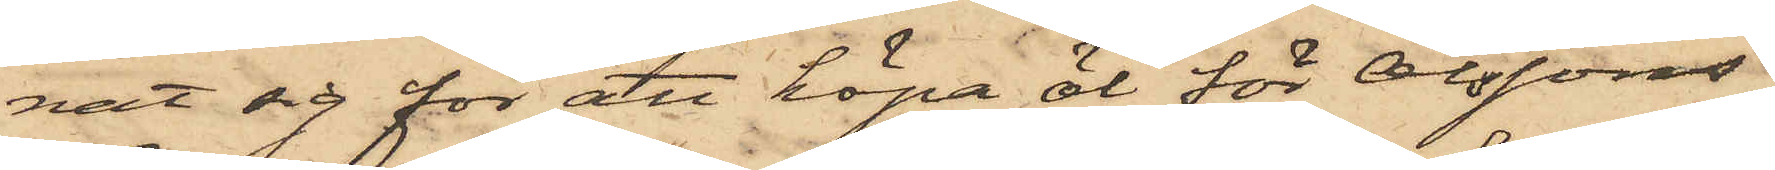nat sig för att köpa öl för Olssons
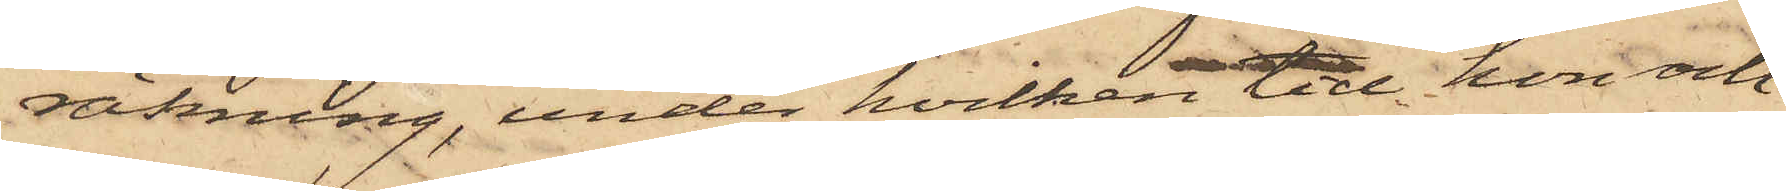räkning, under hvilken tid hon och
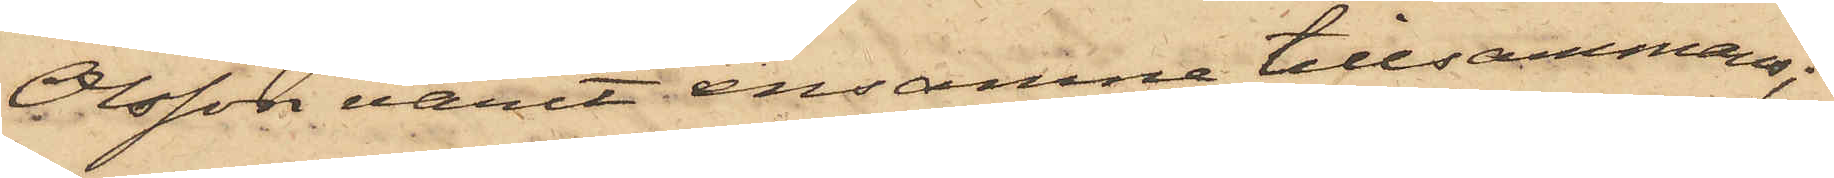Olsson varit ensamne tillsammans;
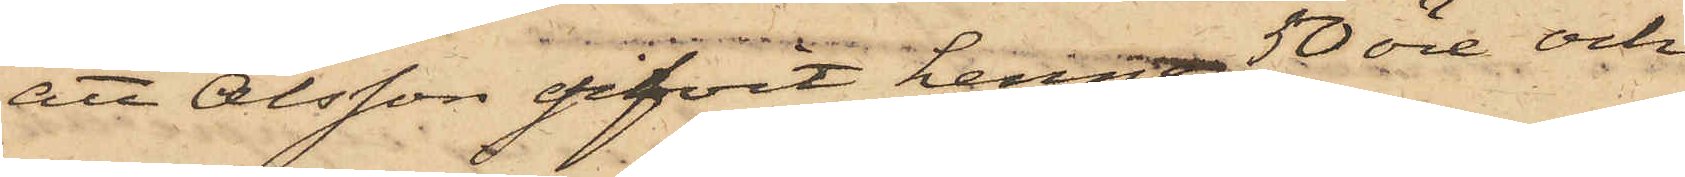att Olsson gifvit henne 50 öre och
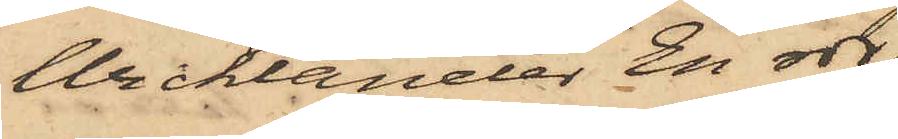Wicklander En rdr,
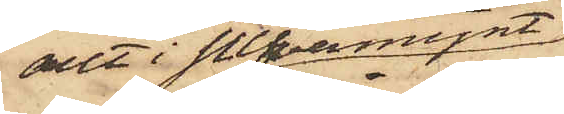allt i silfvermynt
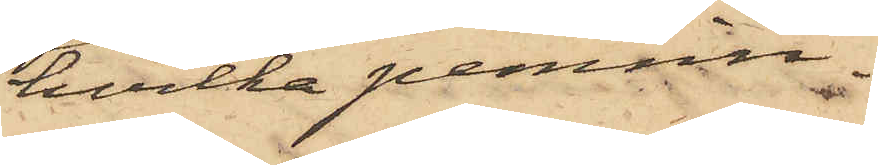hvilka pennin¬
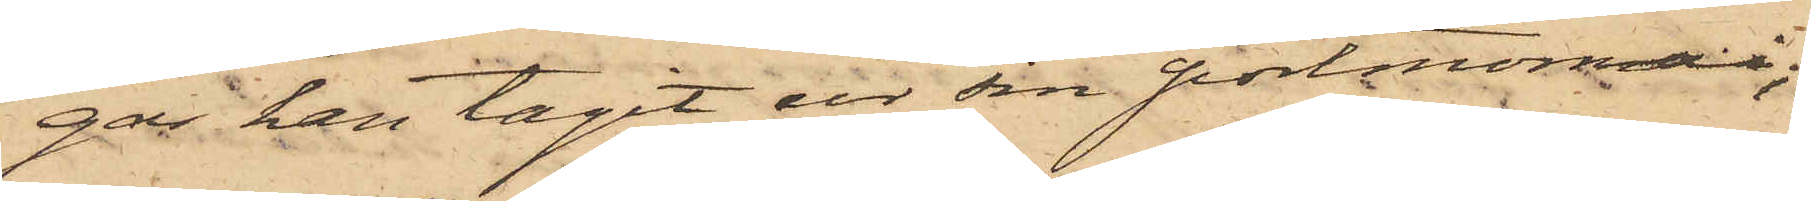gar han tagit ur sin portmonnai;
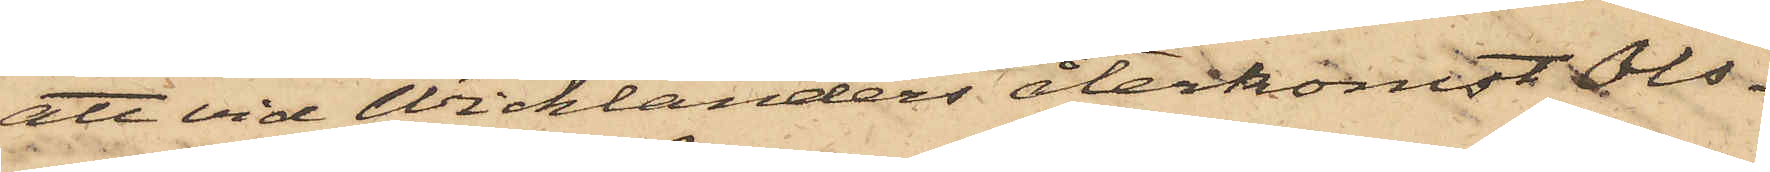att vid Wicklanders återkomst Ols¬
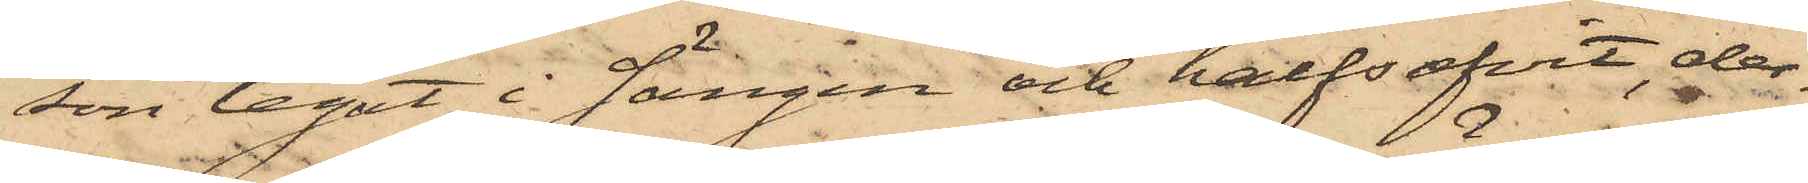son legat i sängen och halfsofvit, der¬
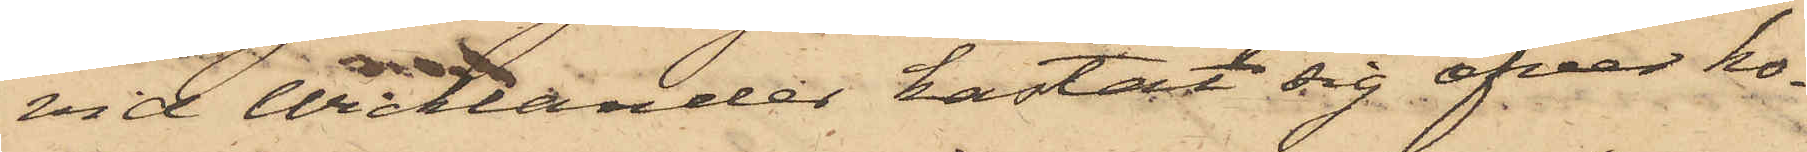vid Wicklander kastat sig öfver ho¬
